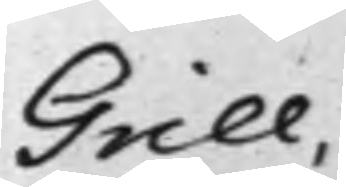Grill.
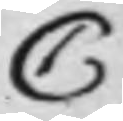C
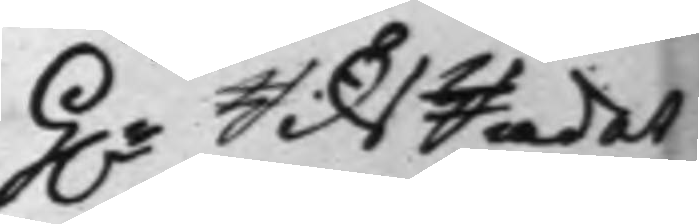H.r RiksRådet
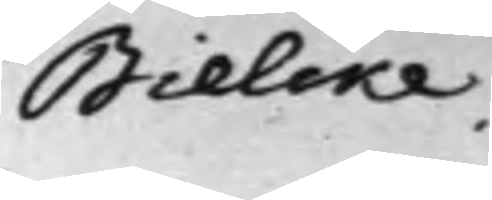Bielcke.
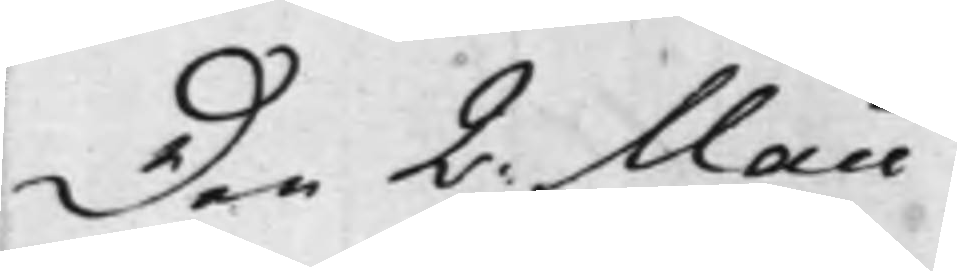Den 2. Maii
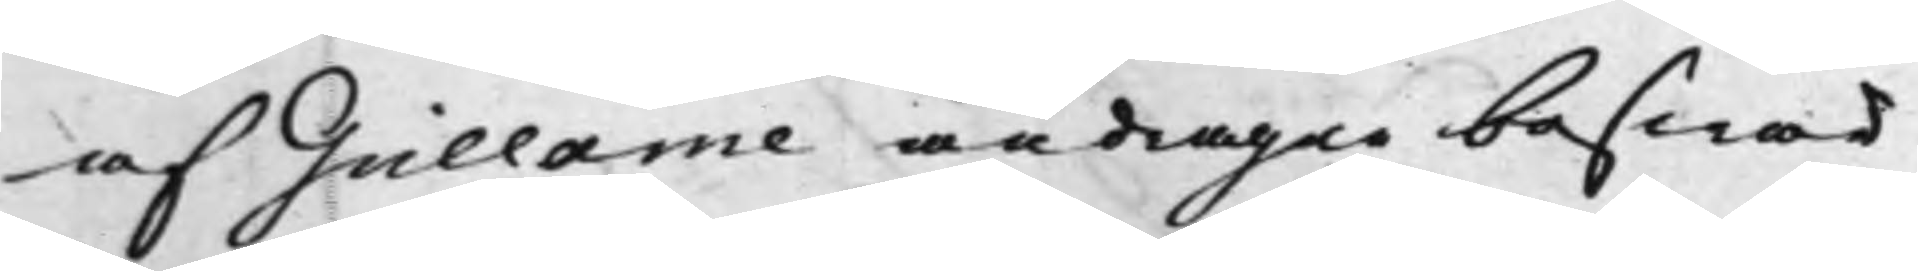af Grillarne andragne beswär
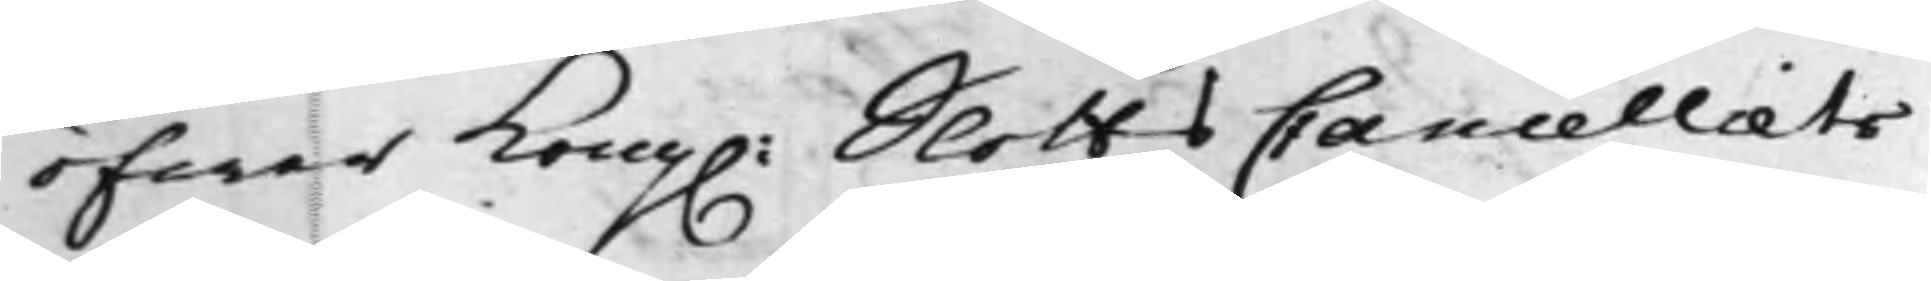öfwer Kong. SlottsCancelliets
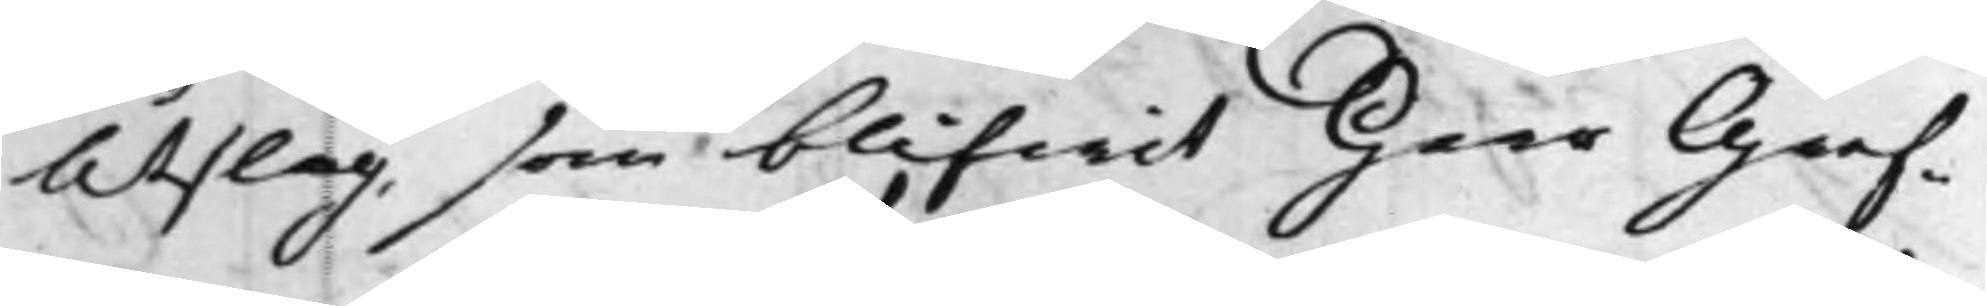Utslag, som blifwit Herr Gref¬
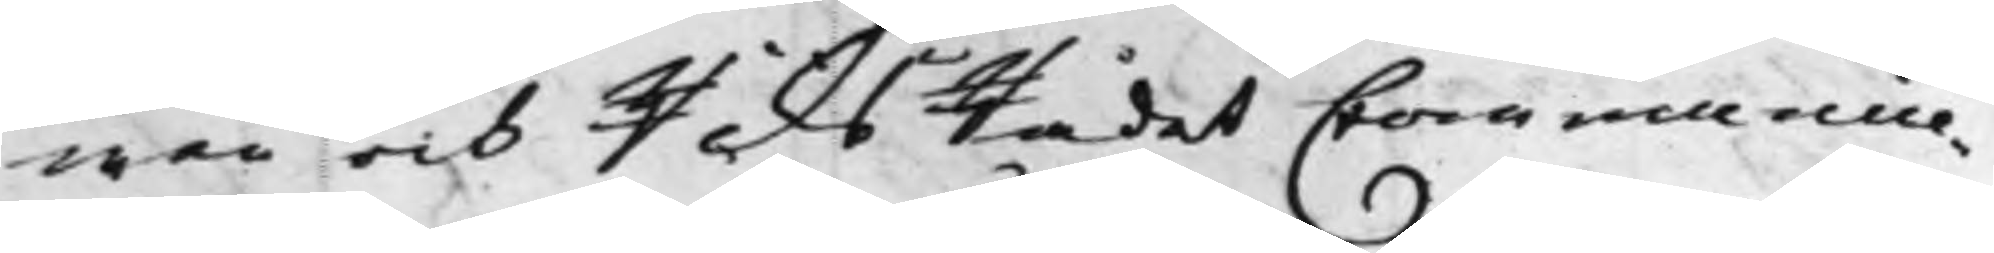wen och RiksRådet Communice¬
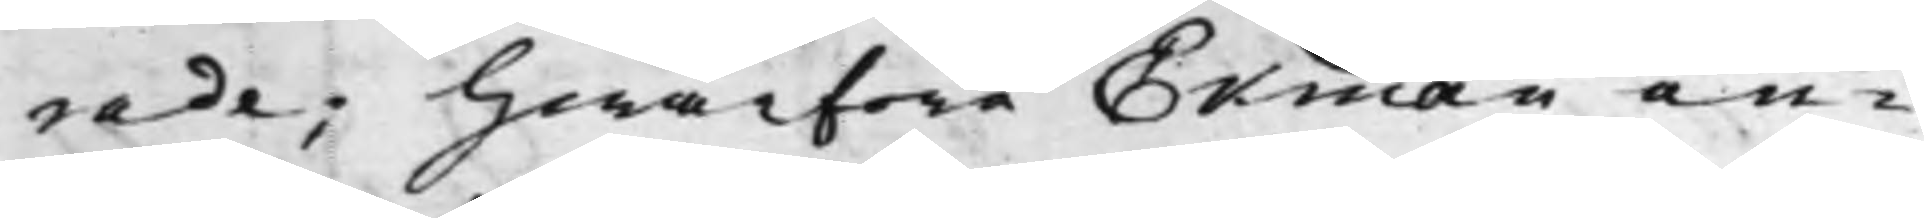rade; hwarföre Ekman in¬
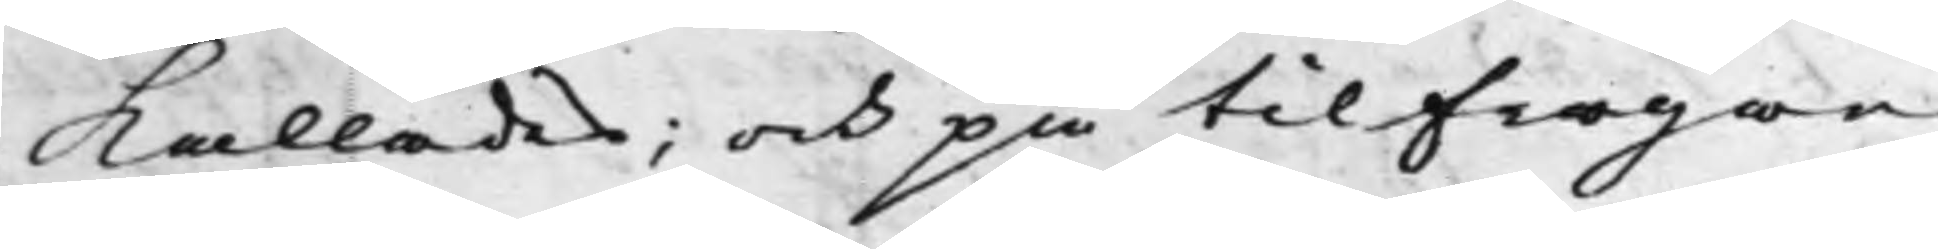kallades, och på tilfrågan
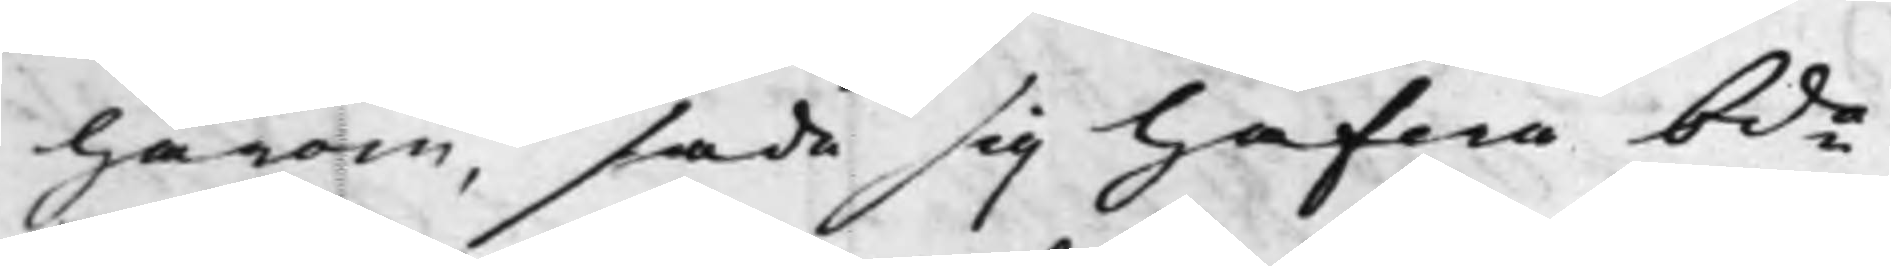härom, sade sig hafwa bde
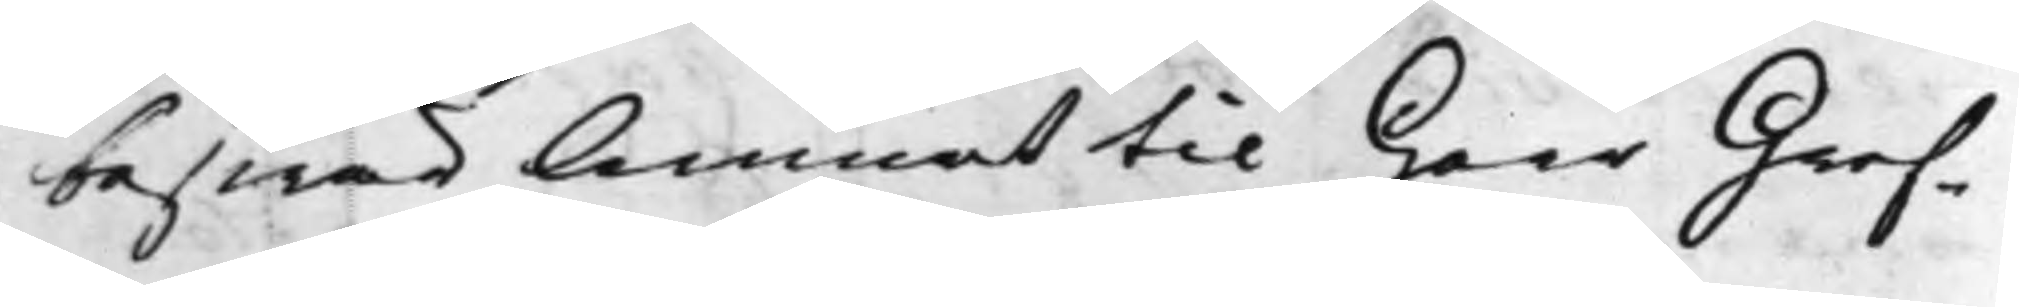beswär lemnat til Herr Gref¬
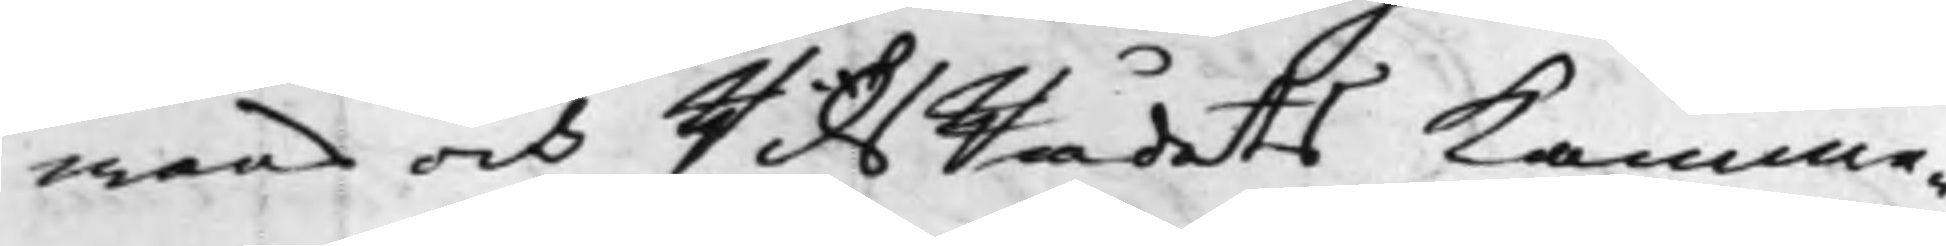wens och RiksRådets Kamme¬
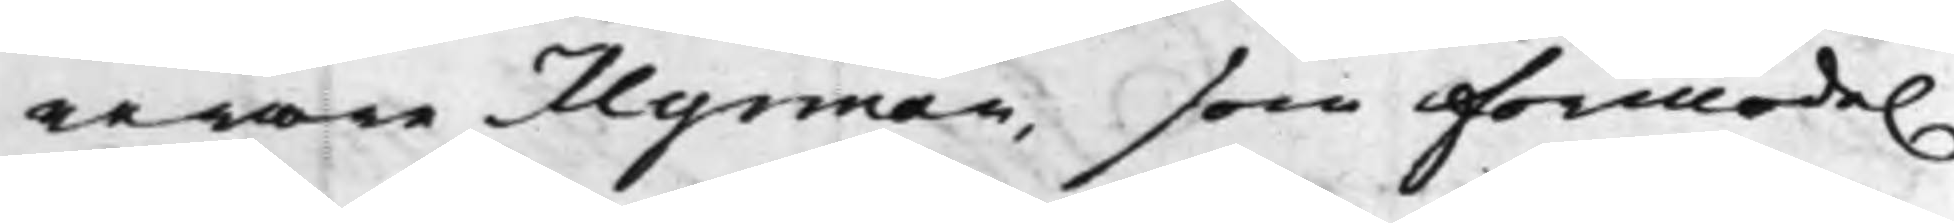rerare Myrman, som förmode.
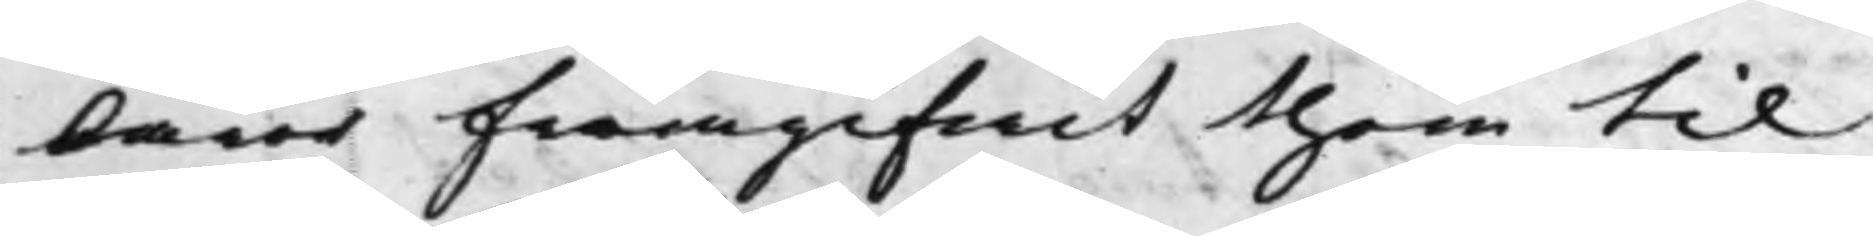lärer framgifwit them til
